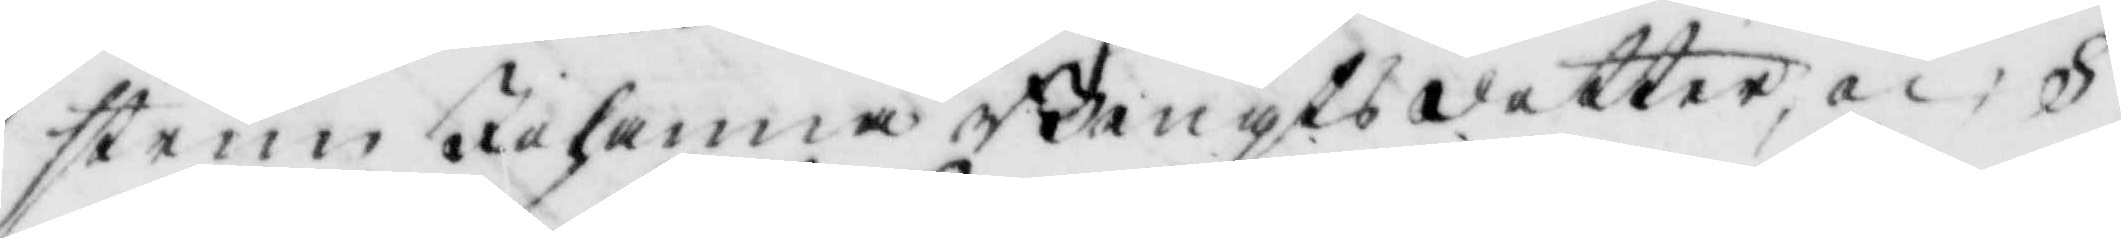strun Johanna Bengtsdotter, och S
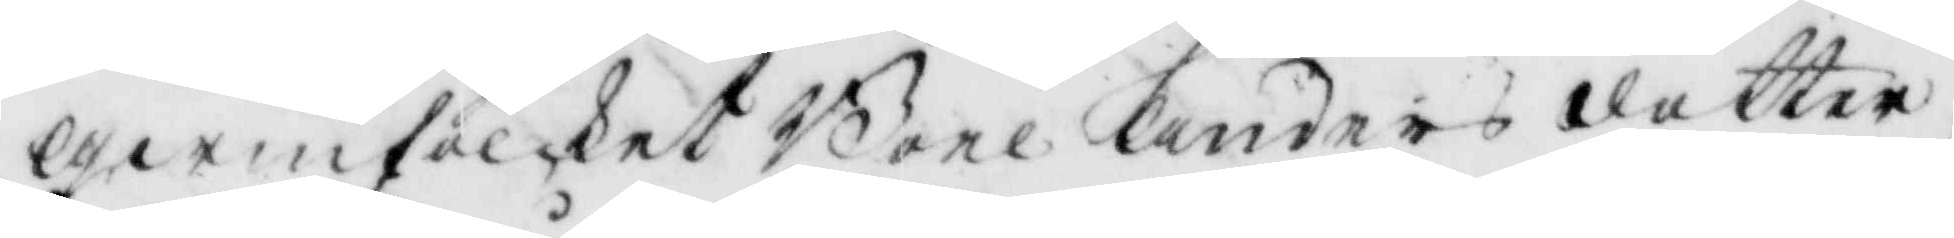Qwinfolcker Boel Andersdotter,
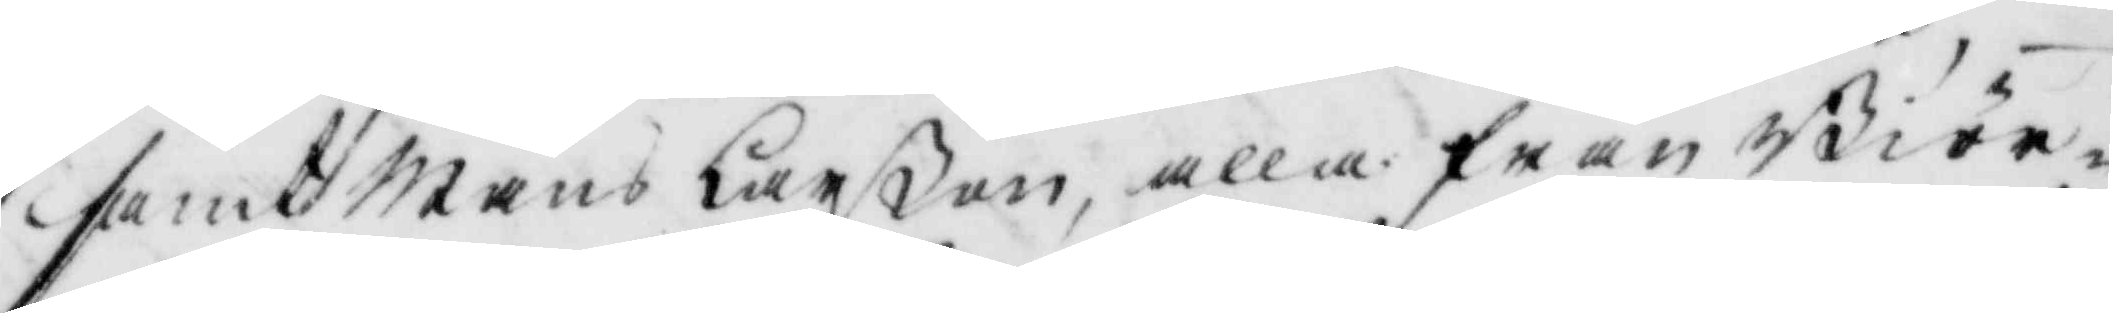samt Måns Larßon, alla från Biör¬
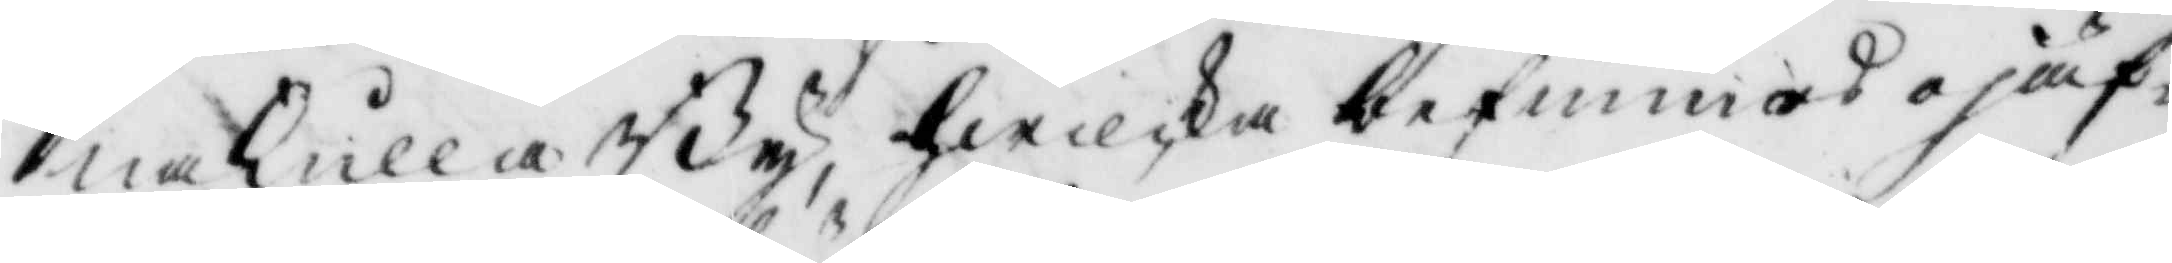naKulla By, hwilka befunnos ojäf¬
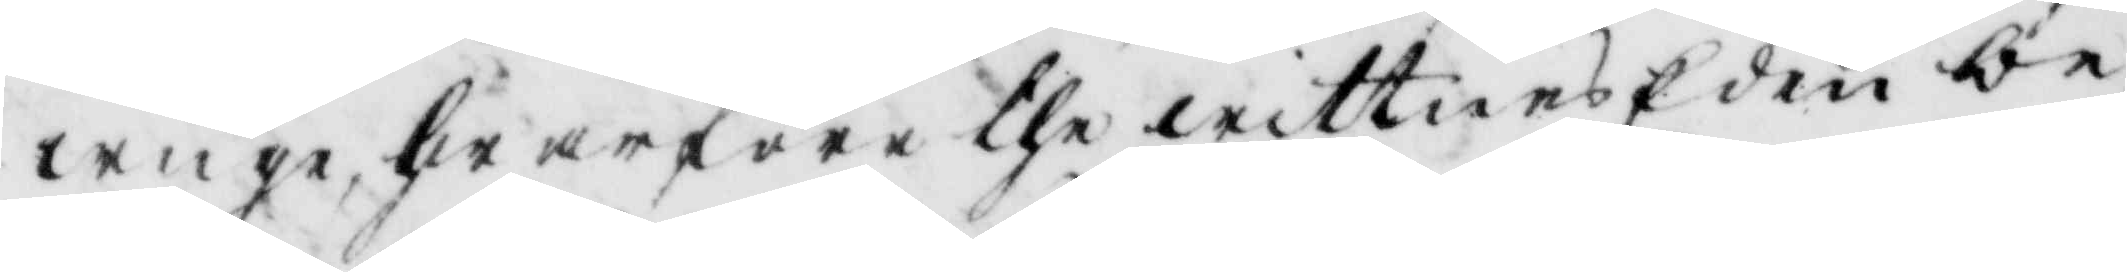wigem hwarföre the wittnes Eden be¬
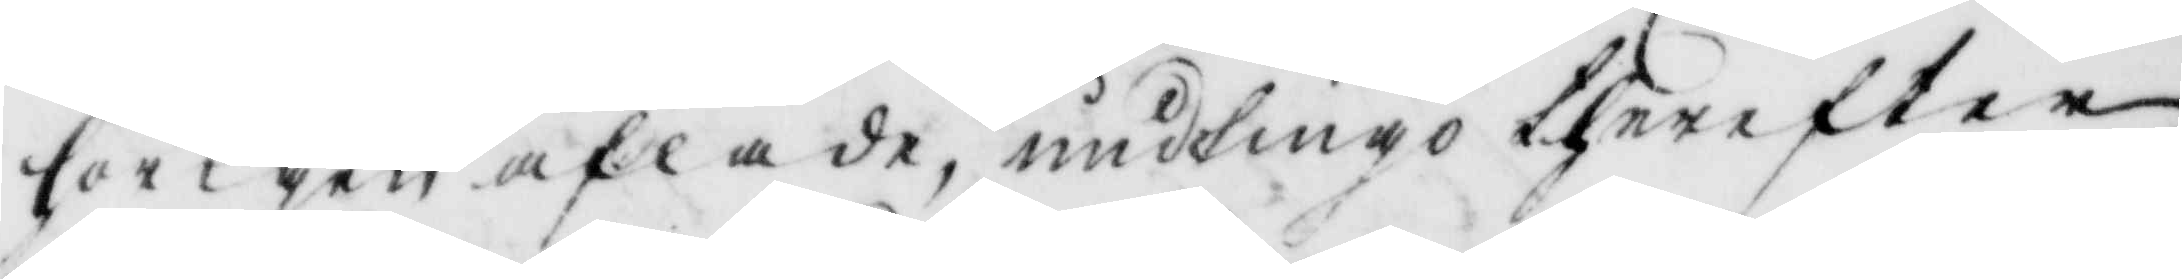hörigen aflade, undfingo therefter
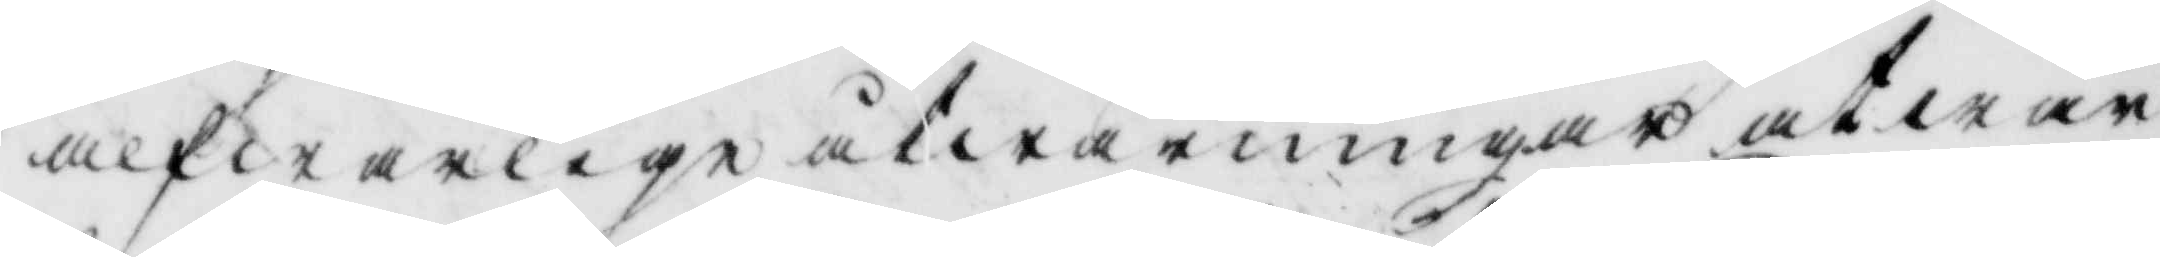alfwarligen åtwarningar at wän¬
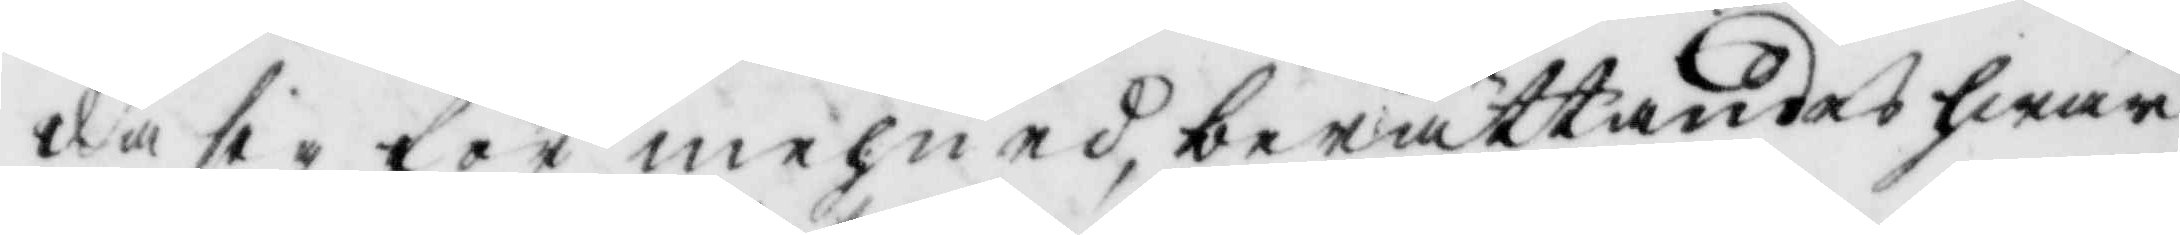da sig för mehned, berättadnes hwar
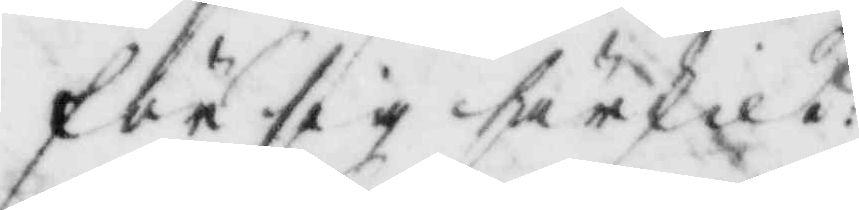för sig särskilt:
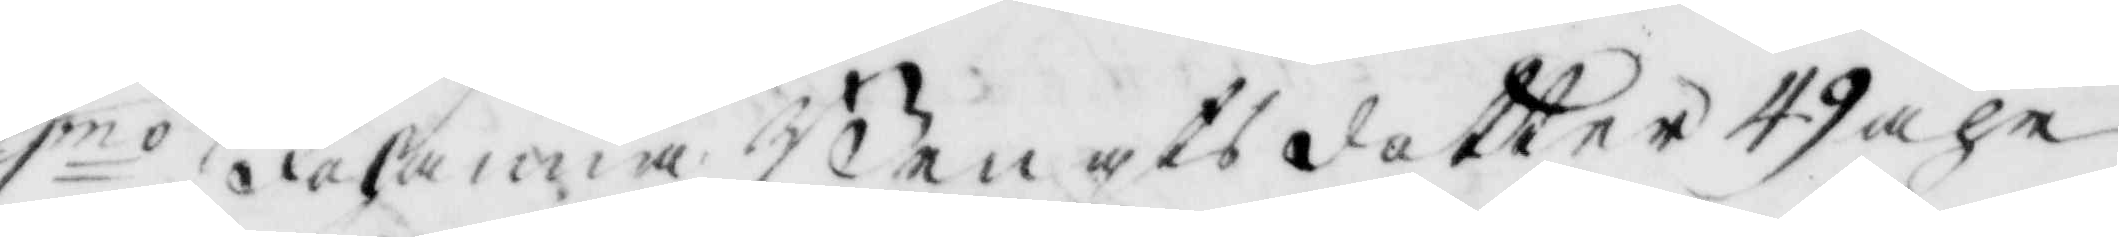1mo Johanna Bengtsdotter 49 åhr
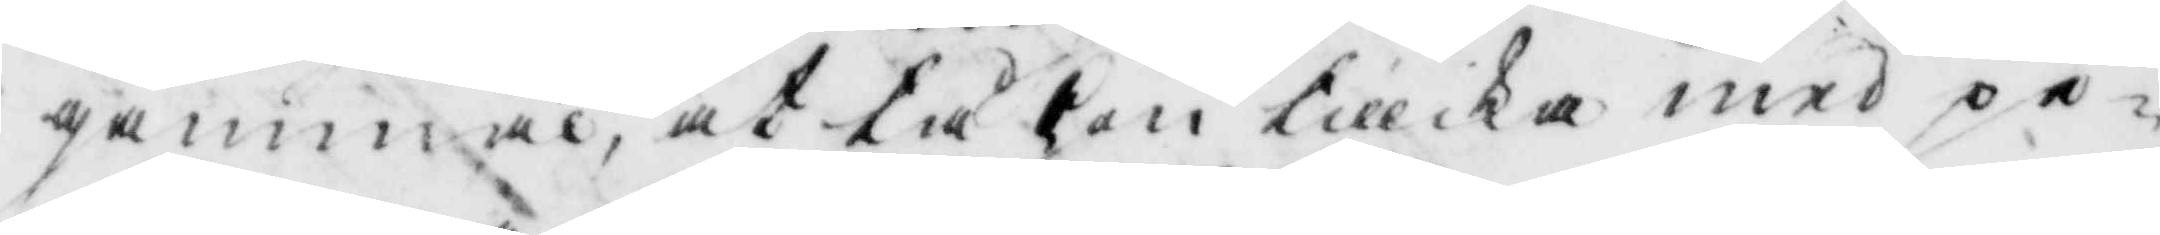gammal, at tå hon tillika med pi¬
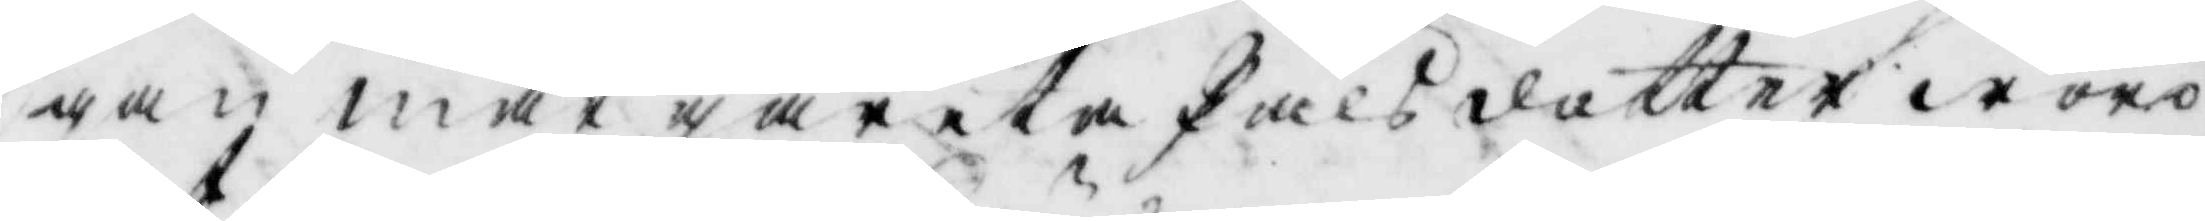gan margareta Pålsdotter woro
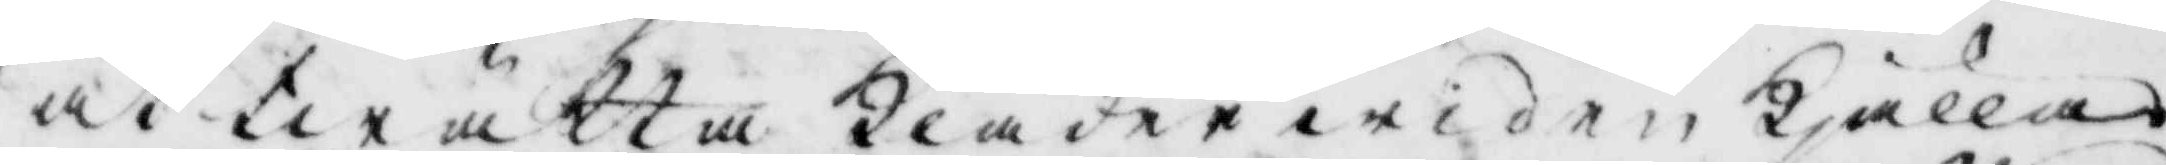at twätta kläder i den Kjällan
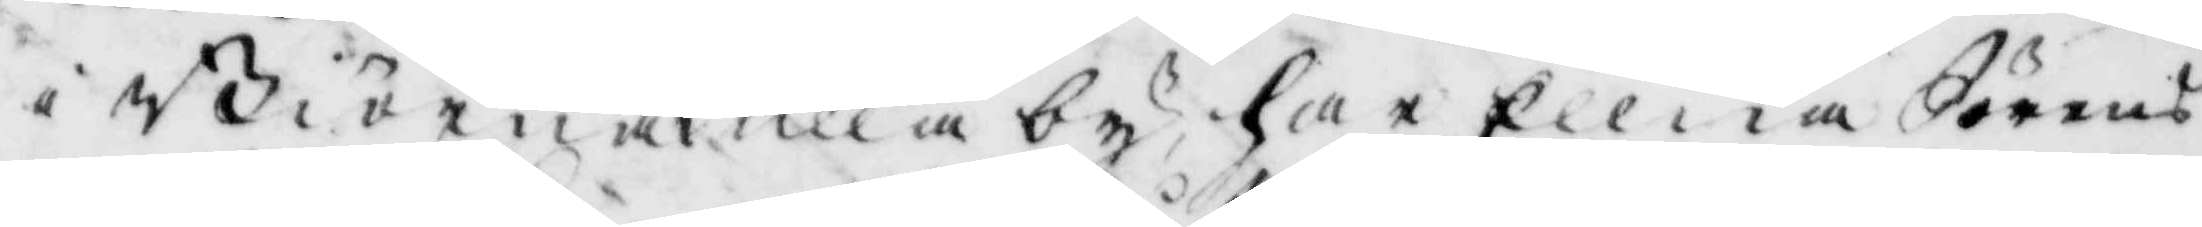i Biörnakulla by har Ellena Jörans¬
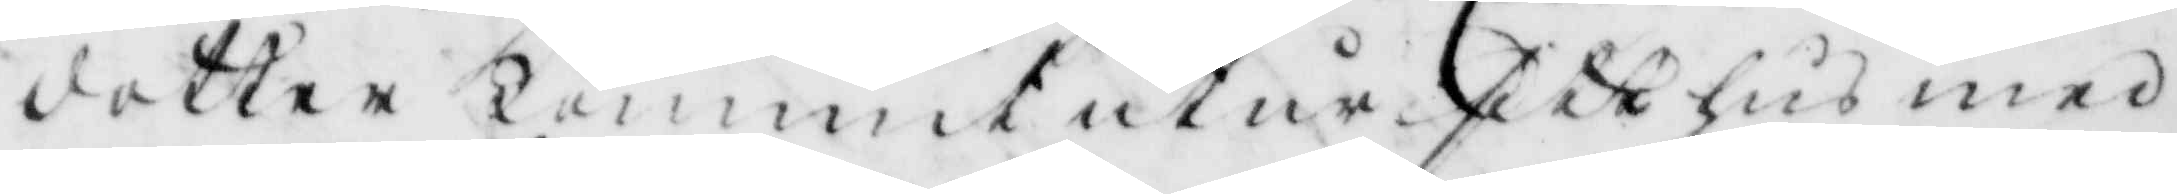dotter Kommit utur sitt hus med
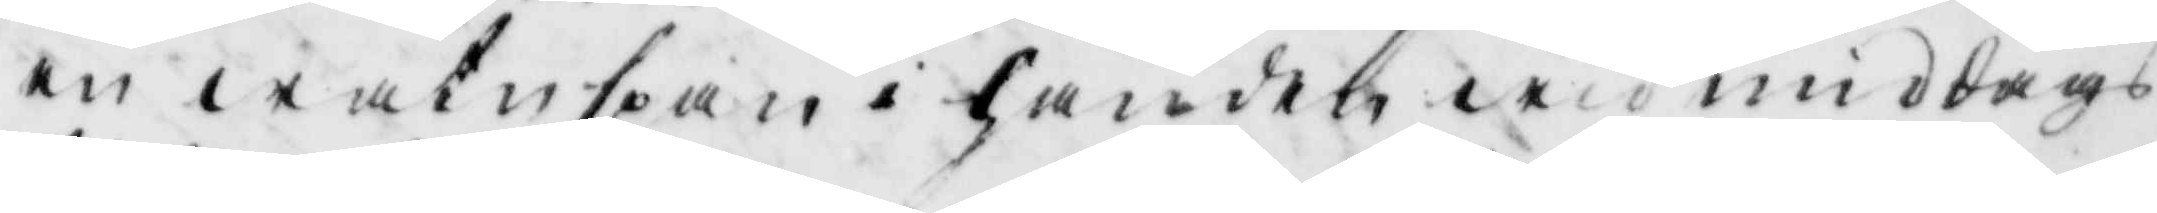en watnspan i handen wid middags¬
